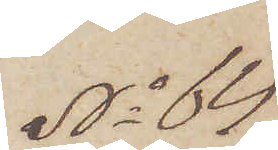No 64
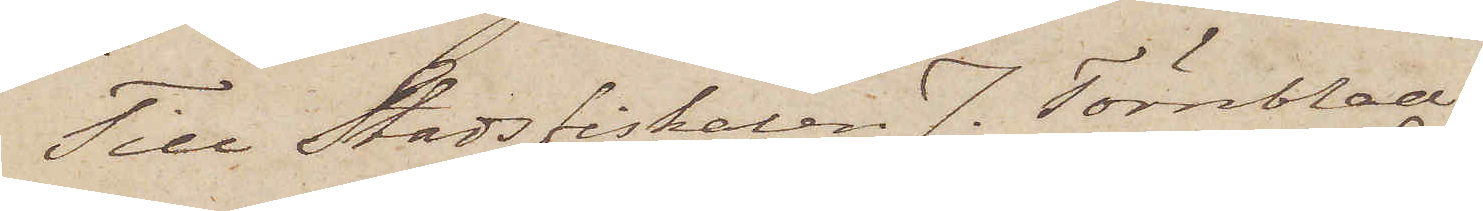Till Stadsfiskalen J. Törnblad.
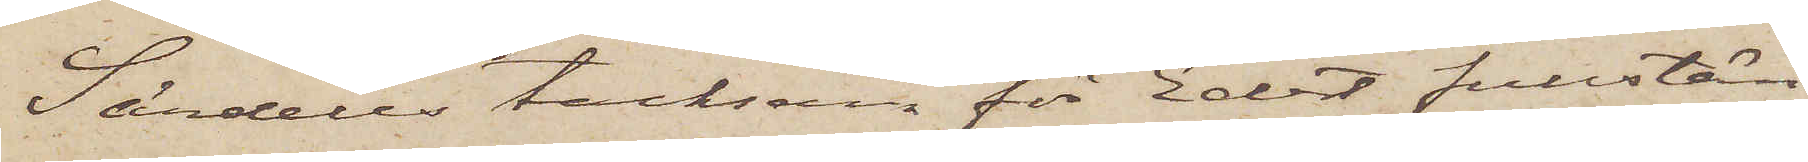Särdeles tacksam för Edert fullstän¬
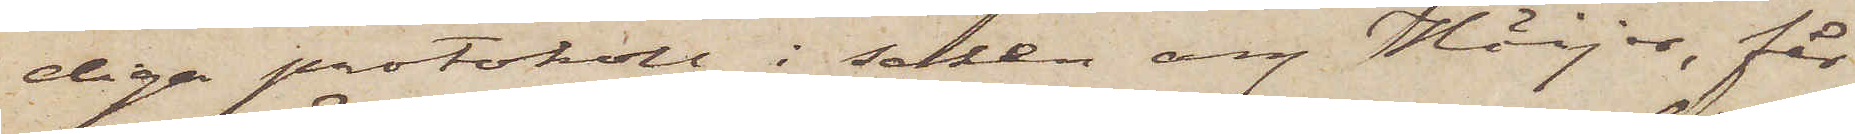diga protokoll i saken ang Höijer, får
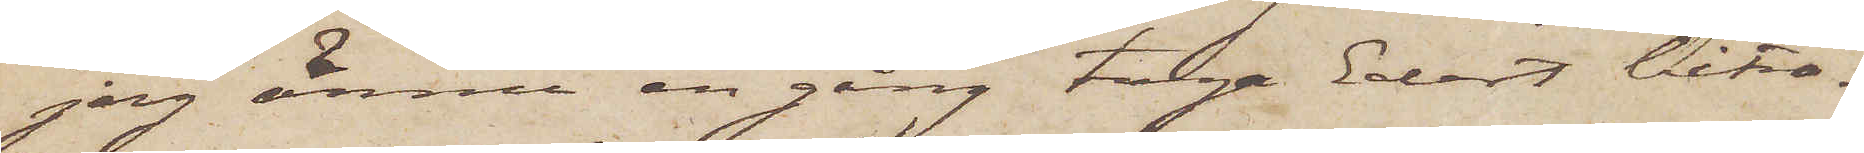jag ännu en gång taga Edert biträ¬
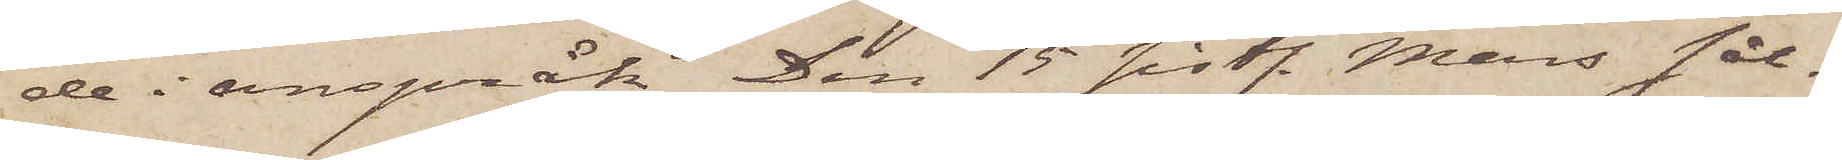de i anspråk. Den 15 sistl. Mars sål¬
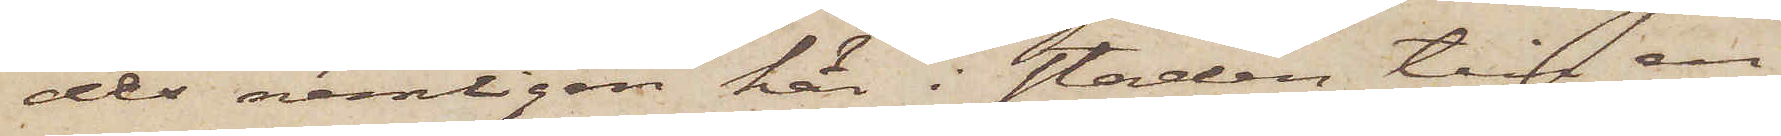des nemligen här i staden till en
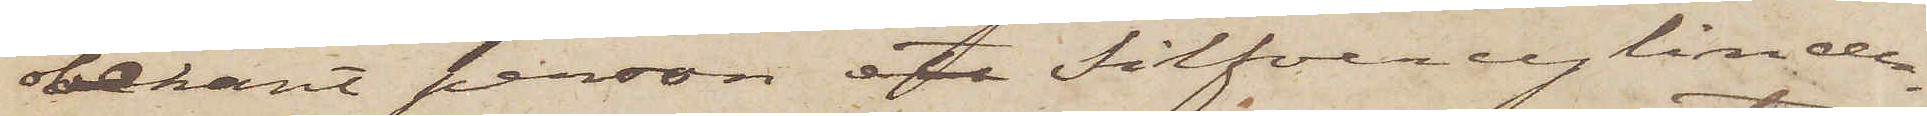obekant person ett Silfvercylinder¬
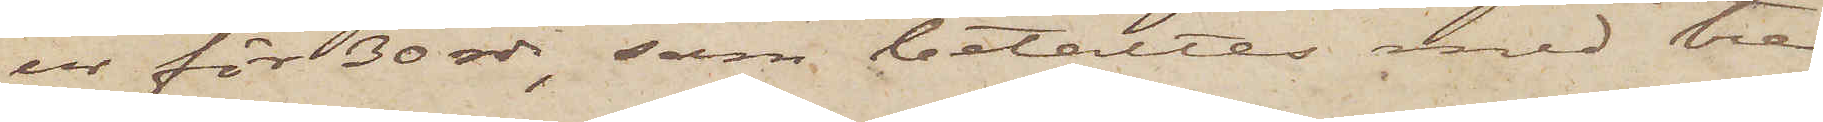ur för 30 rdr, som betaltes med tre
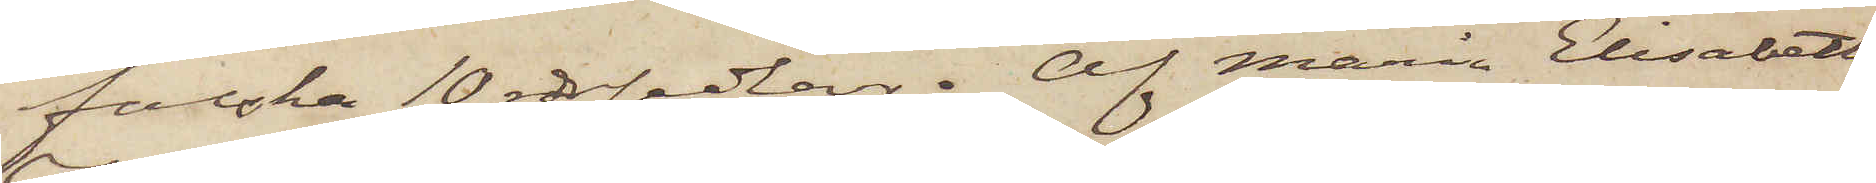falska 10 rdrsedlar. Af Maria Elisabeth
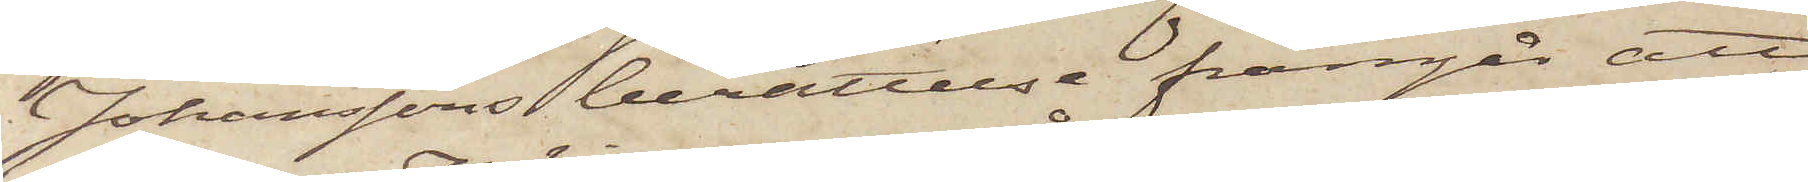Johanssons berättelse framgår, att
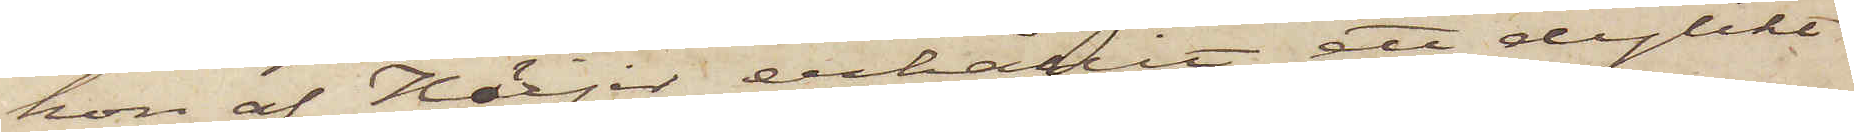hon af Höijer erhållit ett dylikt
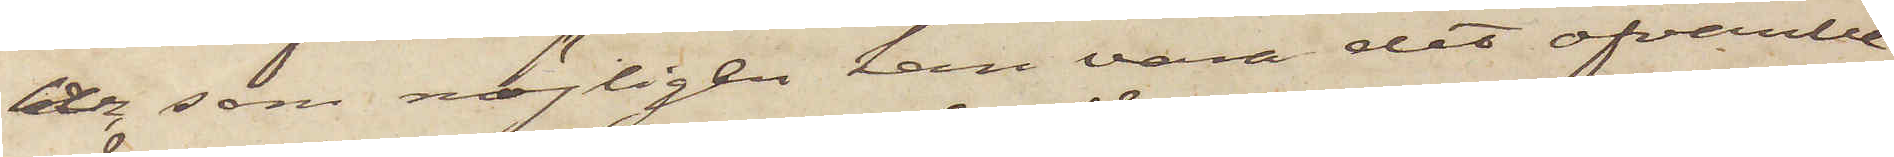ur, som möjligen kan vara det ofvanbe¬
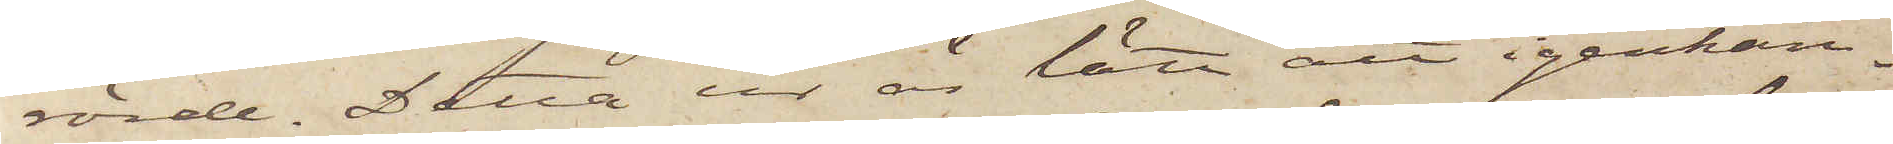rörde. Detta ur är lätt att igenkän¬
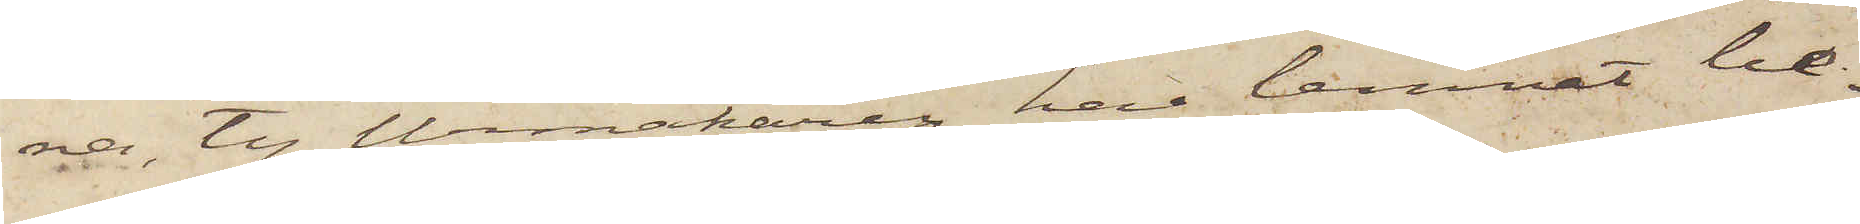na, ty Urmakaren har lemnat be¬
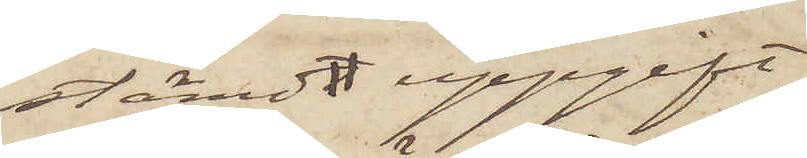stämdt uppgift
